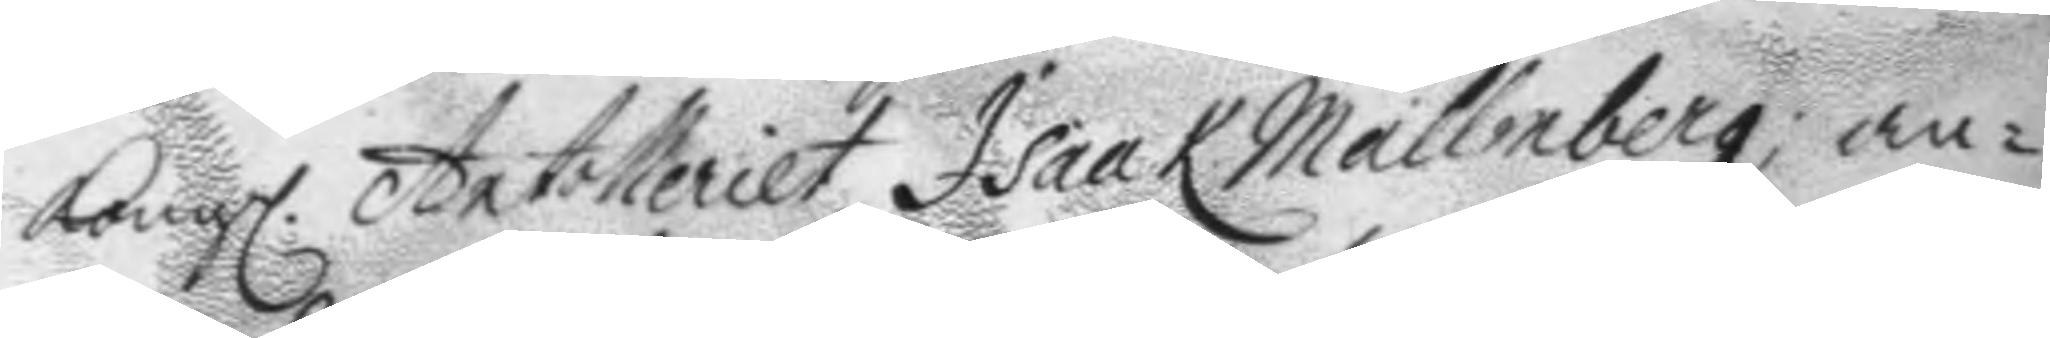Kongl. Artolleriet Isaak Mallmberg; an¬
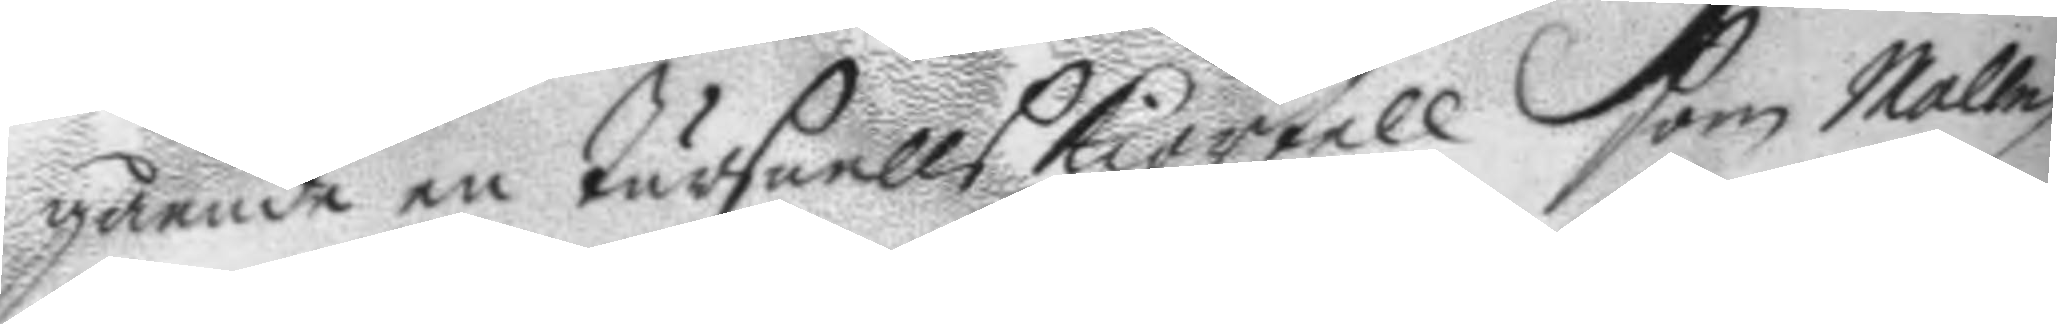gående en tursnells kiortell som Mallm¬
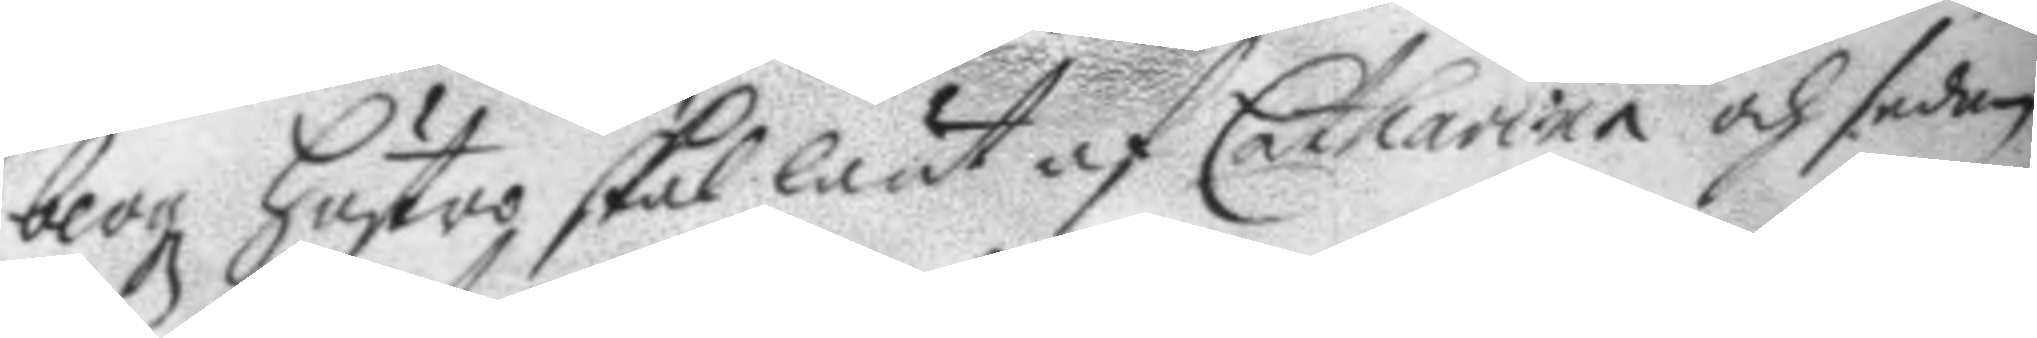bergz hustro skal lånt af Catharina och sedan
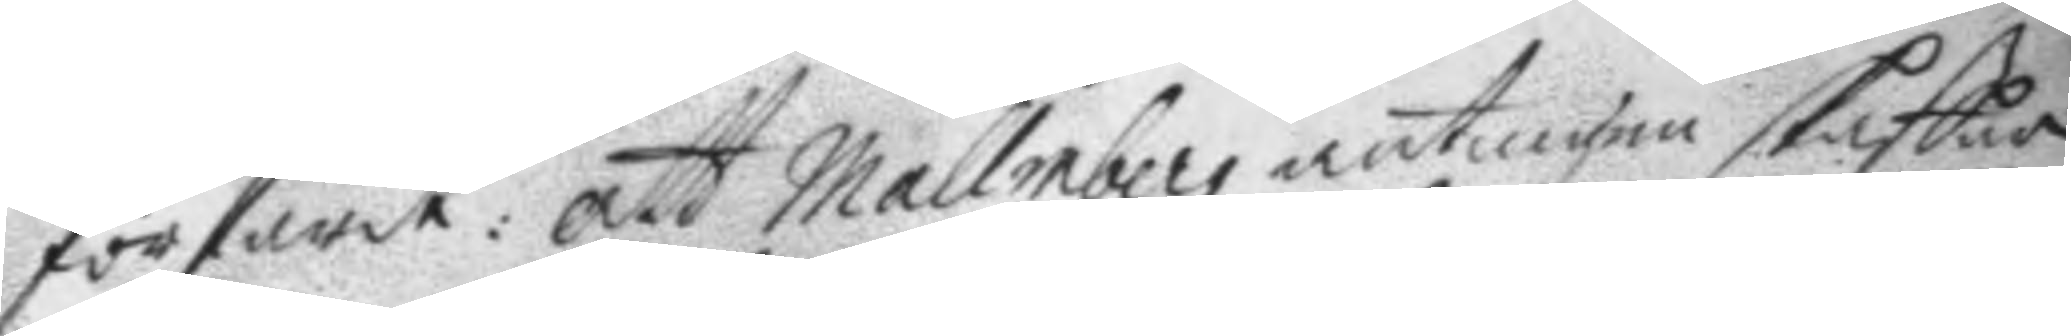förfarit: att Mallmberg antingen skaffar
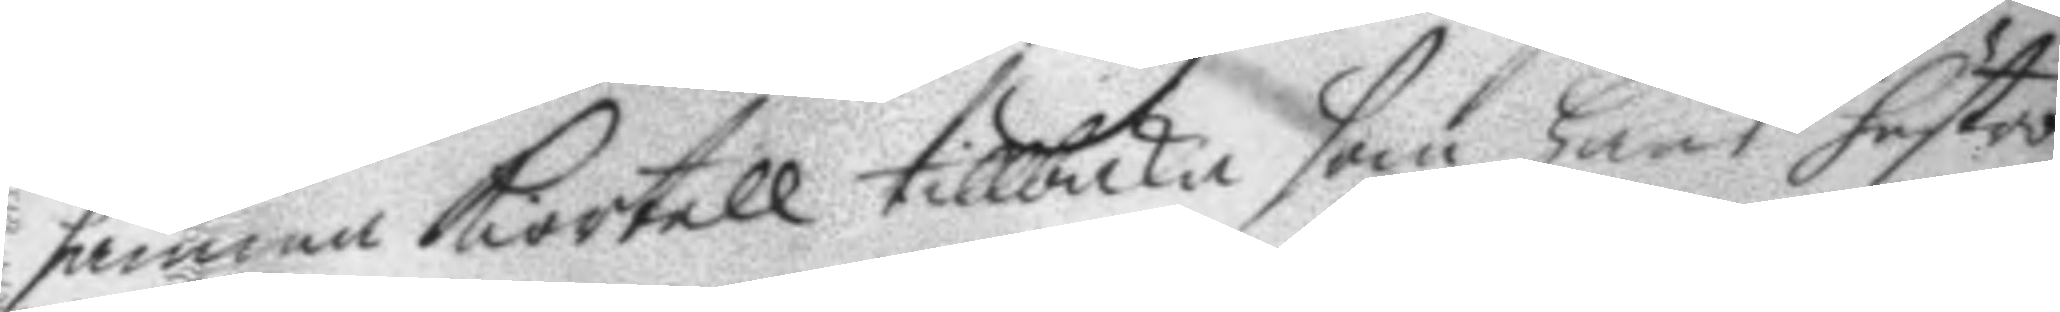samma kiortell tillbaka som hans hustro
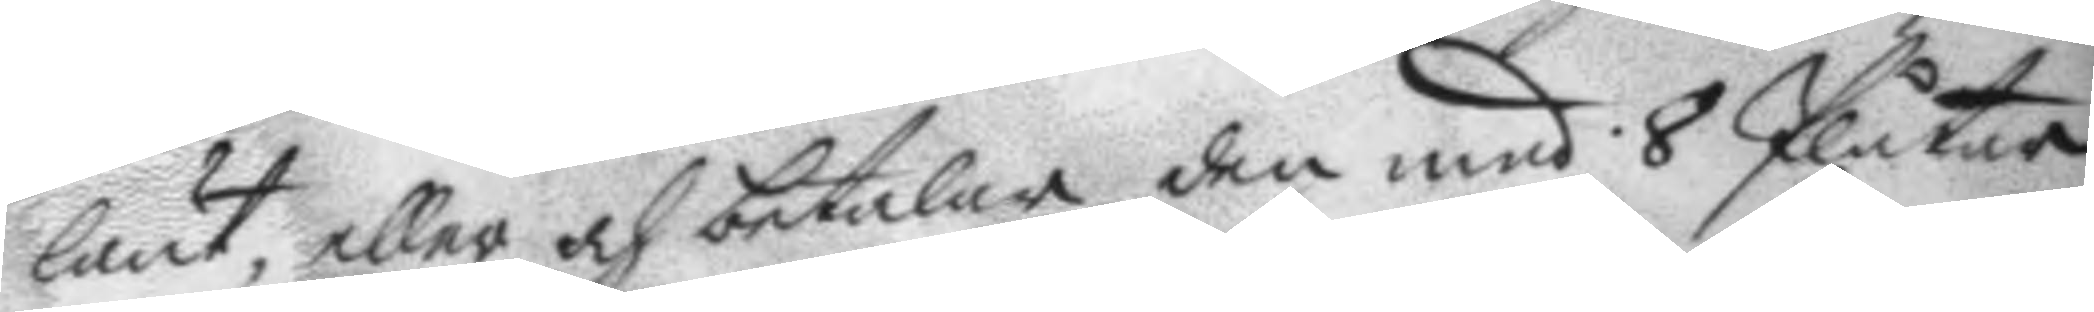lånt, eller och betalar den med 8 Plåtar
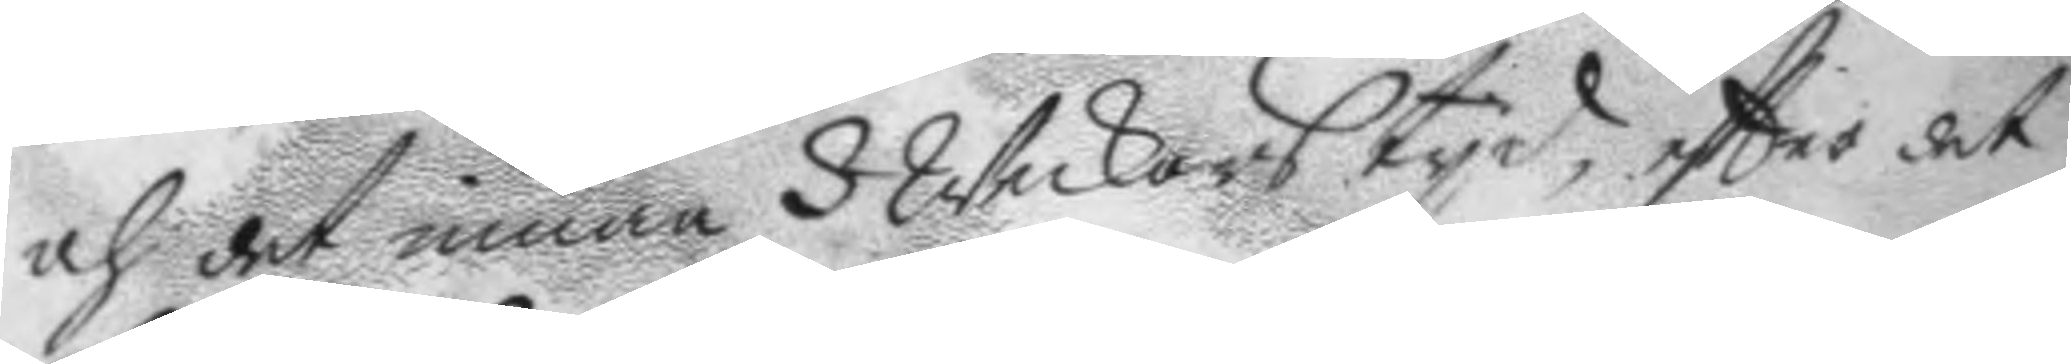och det inom 3 Weckors tyd, eftter det
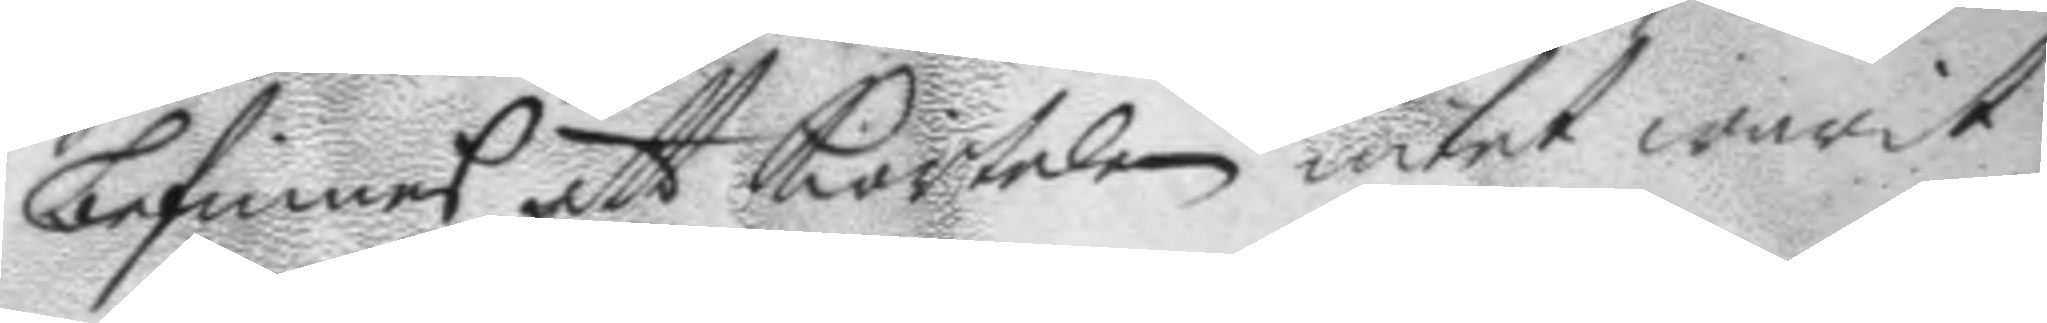befinnes att kiorteln intet warit
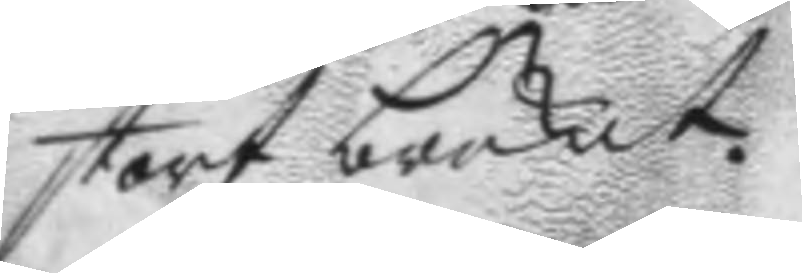stort brukat.
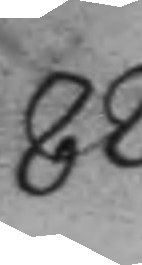82.
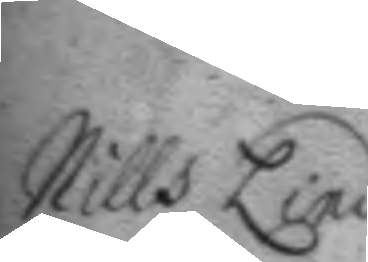Nills Lind.
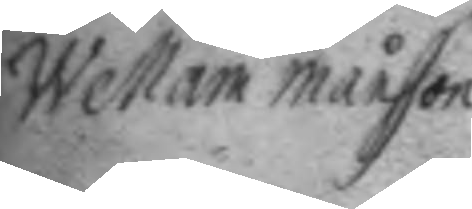Wellam Månsson
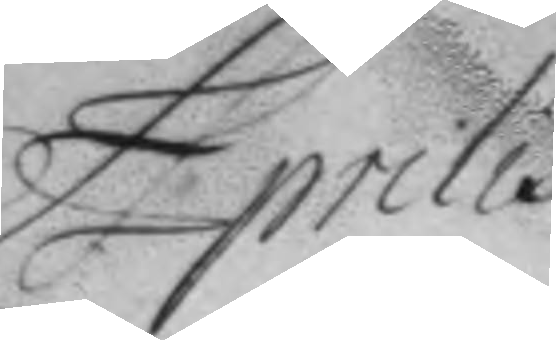Aprilis
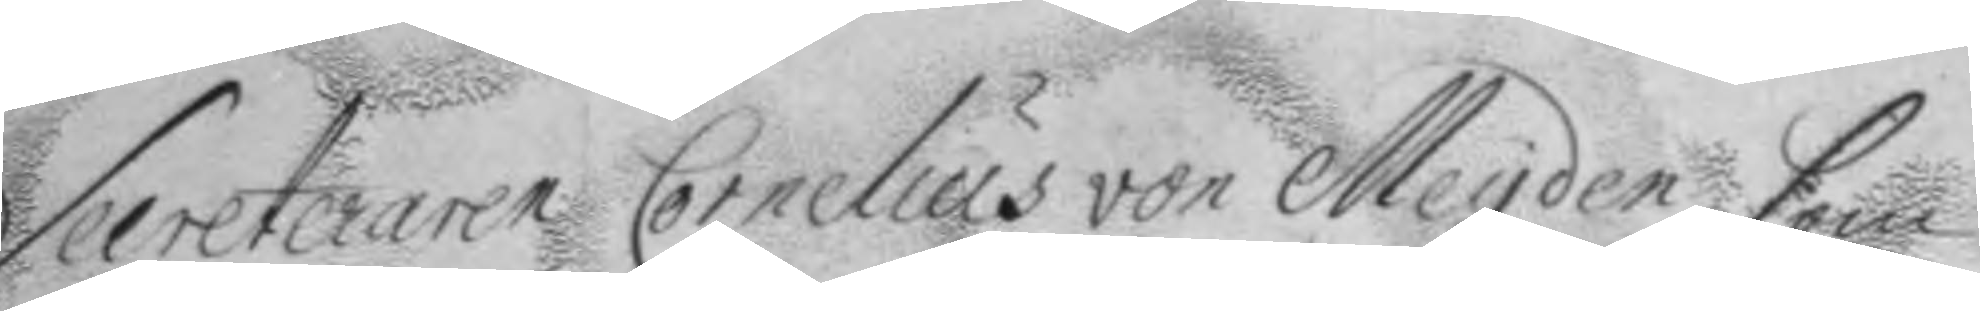Selreteraren Cornelius von Meyden, som
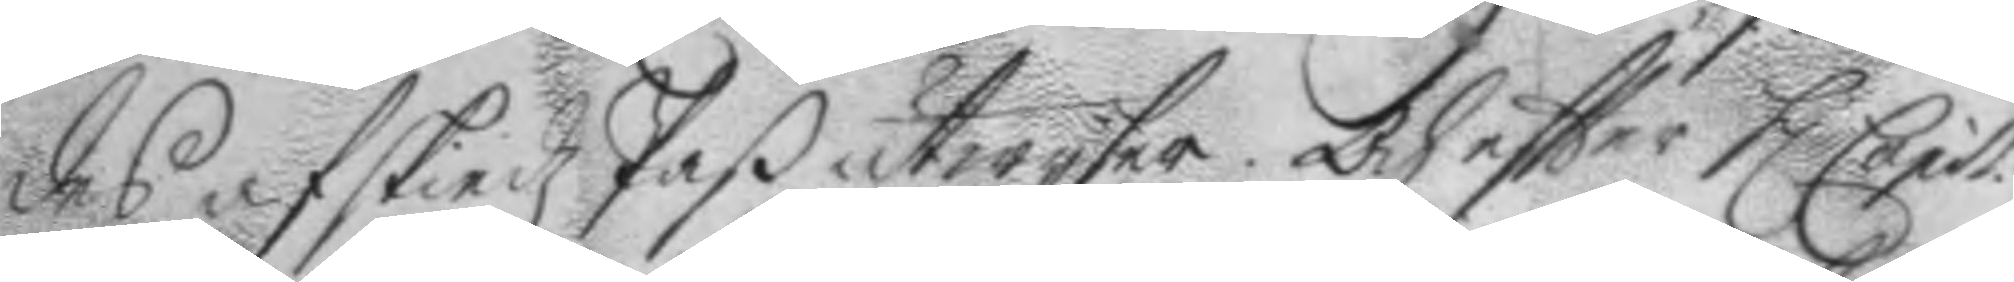des afskiedz Paß utwisar. och eftter h. Capit.
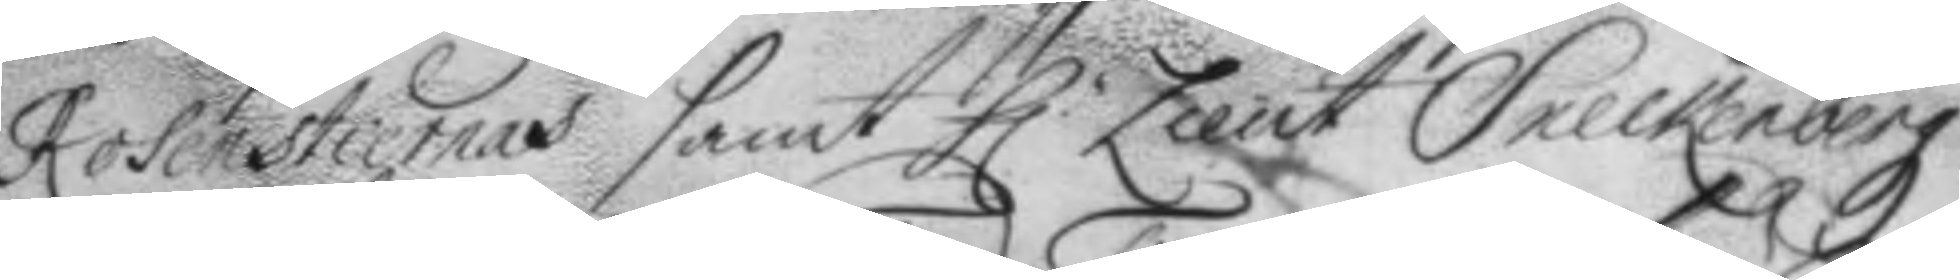Rosenstiernas samt h.r Lieut Sbeckenbergz
